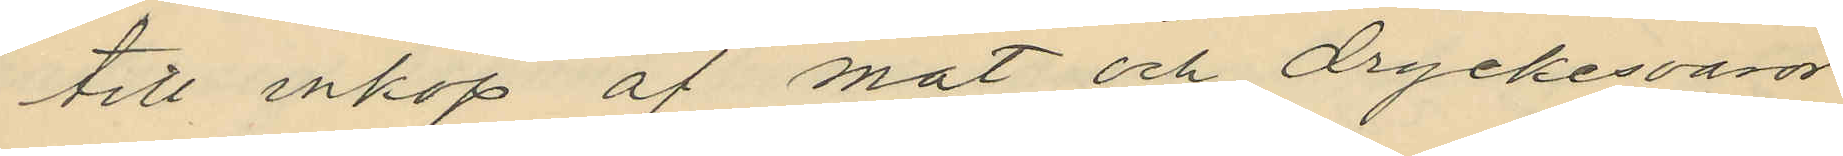till inköp af mat och dryckesvaror
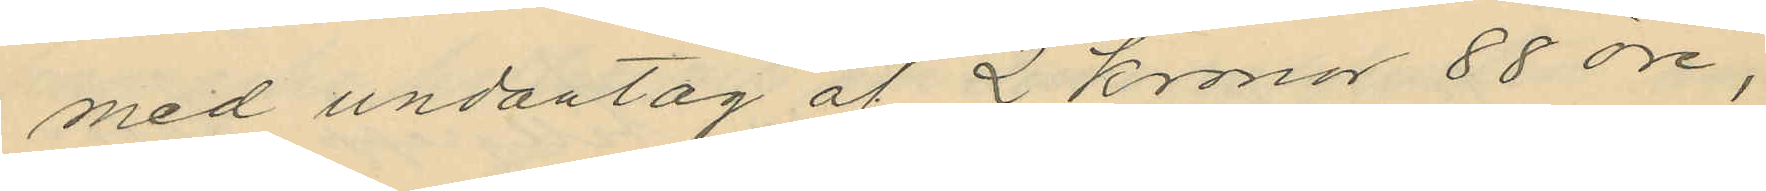med undantag af 2 Kronor 88 öre,
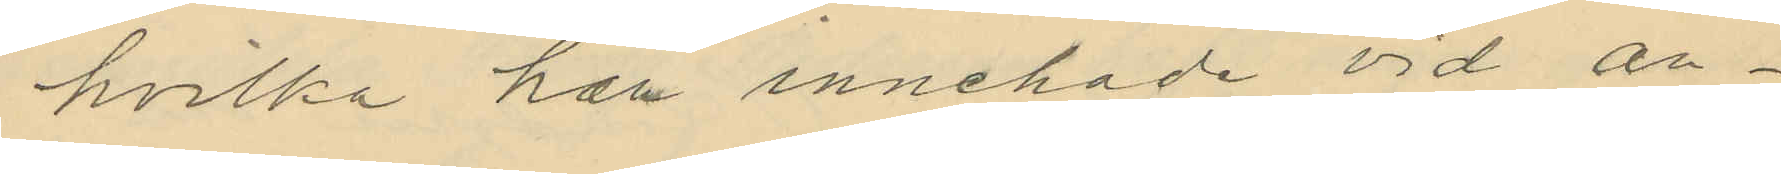hvilka han innehade vid an¬
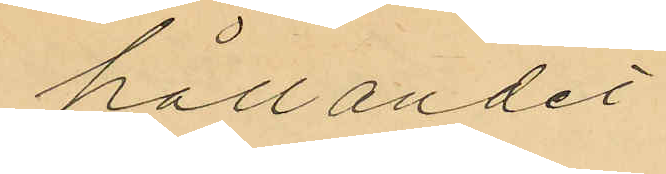hållandet.
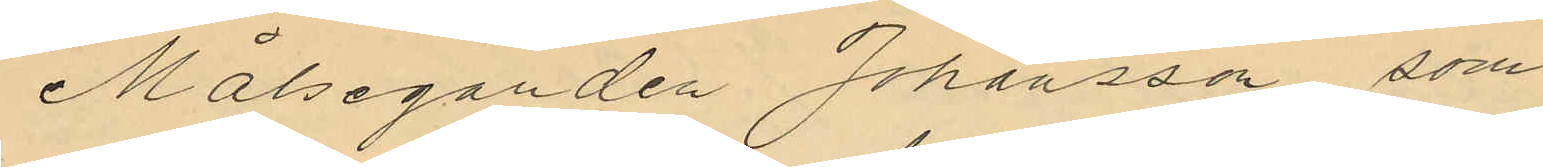Målseganden Johansson, som
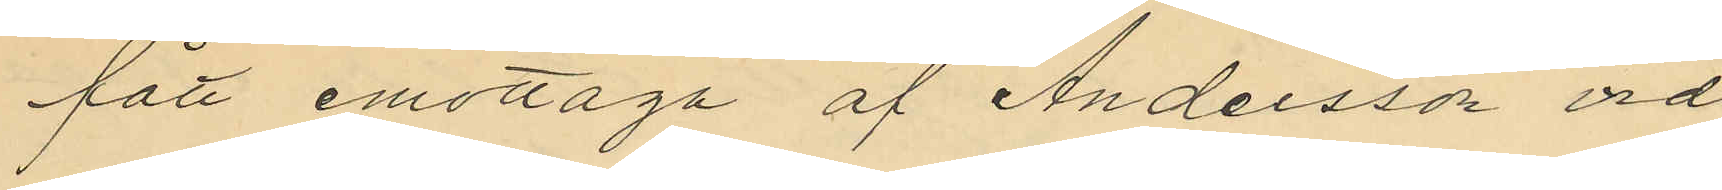fått emottaga af Andersson vid
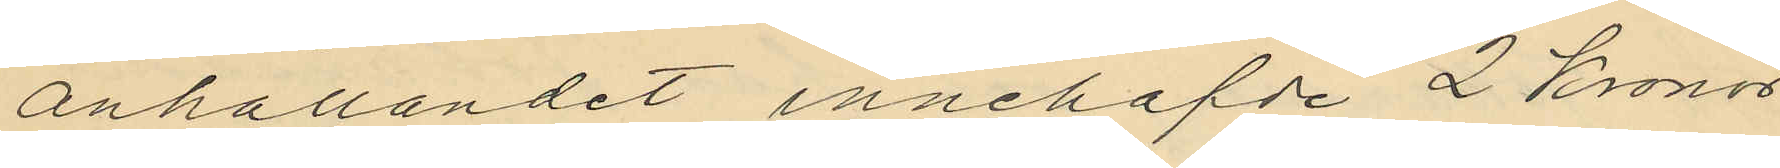anhållandet innehafde 2 Kronor
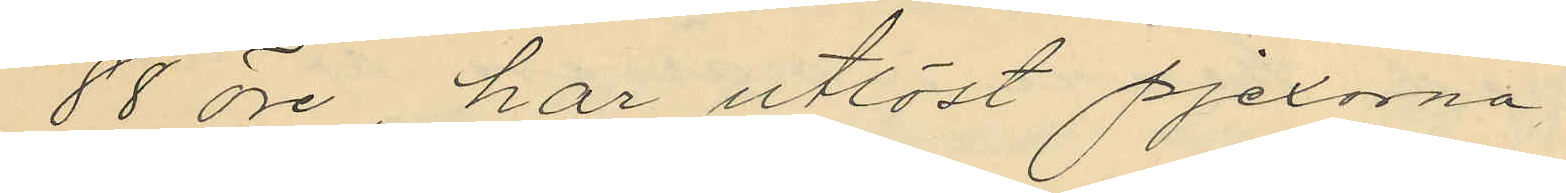88 öre, har utlöst pjexorna.
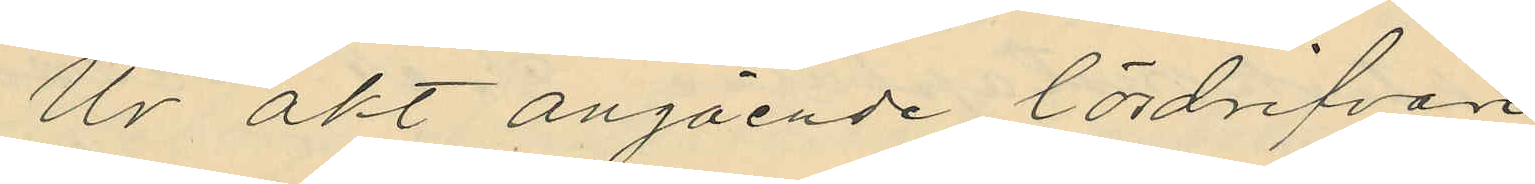Ur akt angående lösdrifvare
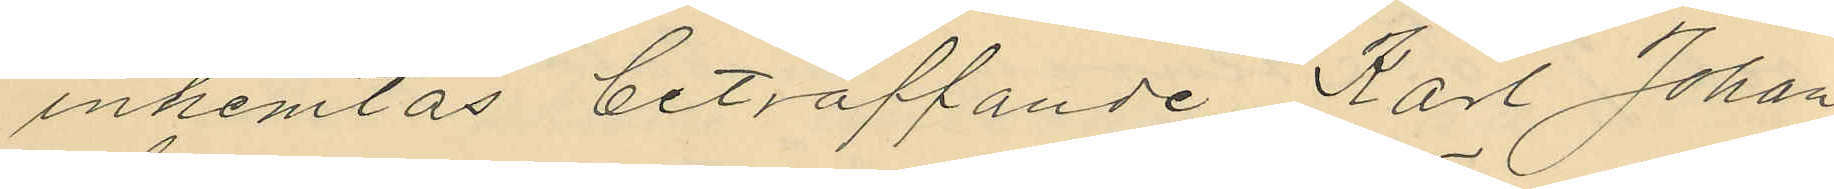inhemtas beträffande Karl Johan
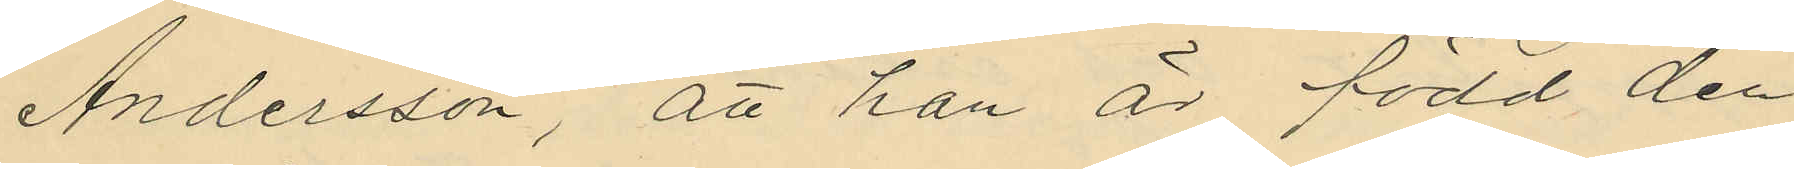Andersson, att han är född den
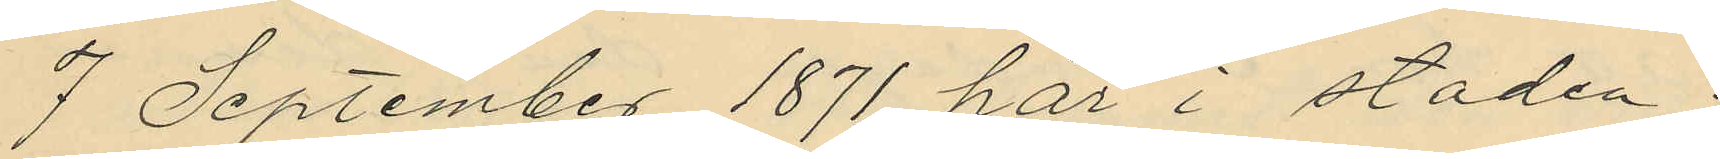7 September 1871 här i staden;
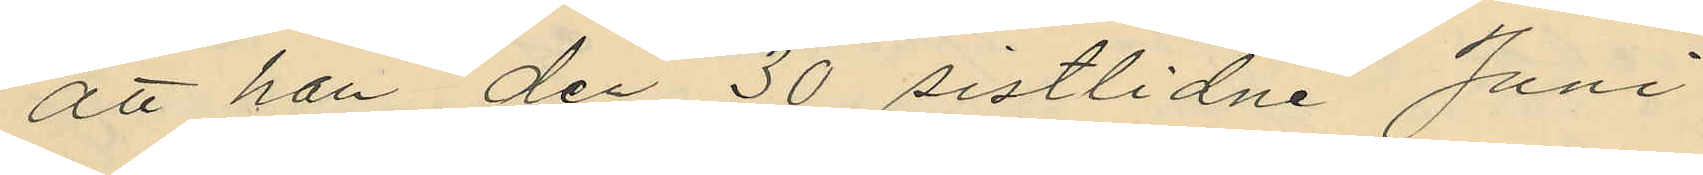att han den 30 sistlidne Juni
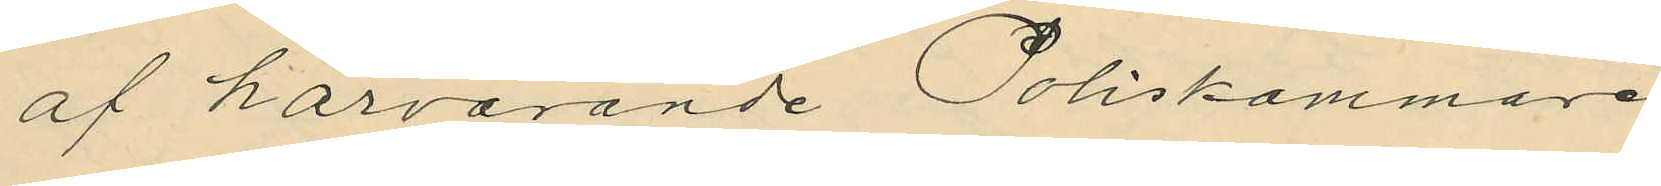af härvarande Poliskammare
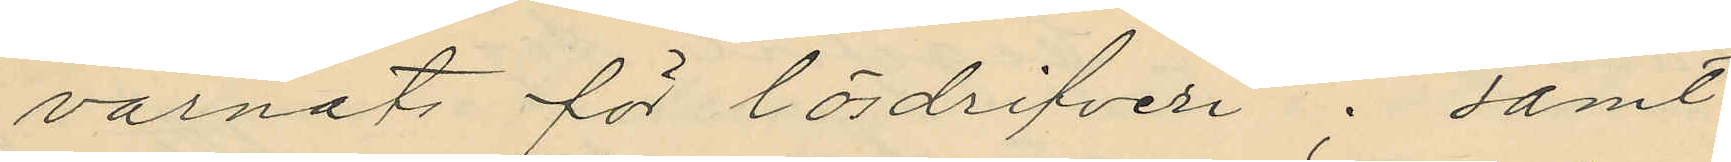varnats för lösdrifveri; samt
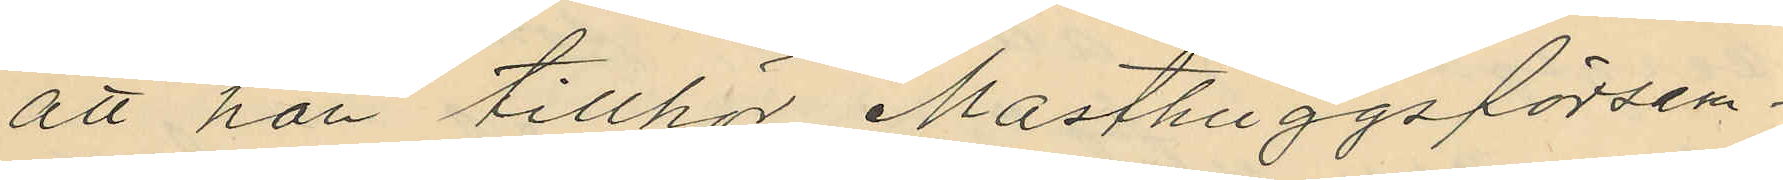att han tillhör Masthuggsförsam¬
